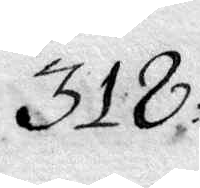318.
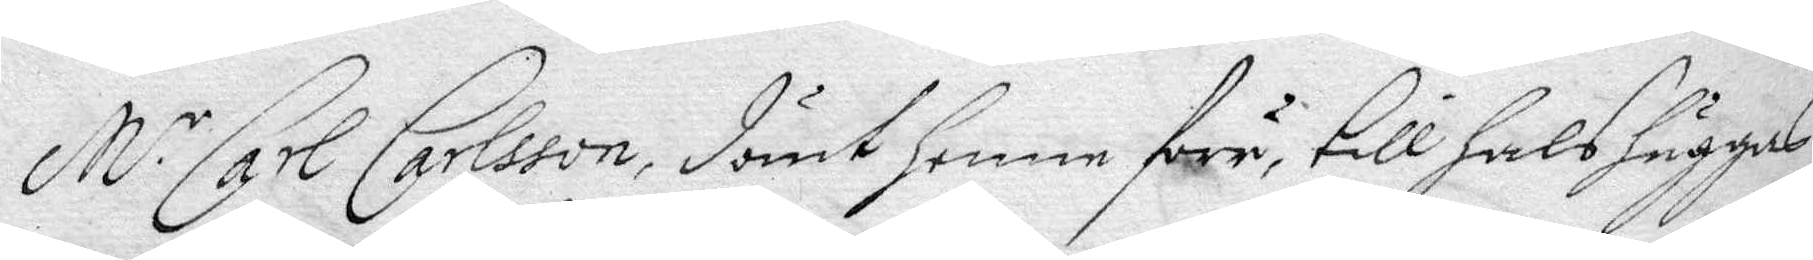M.r Carl Carlssom, dömt henne förr till halshuggas 
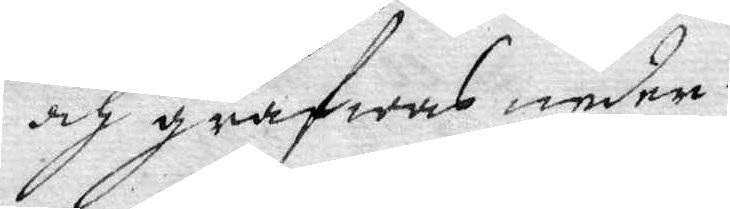och grafwas neder.
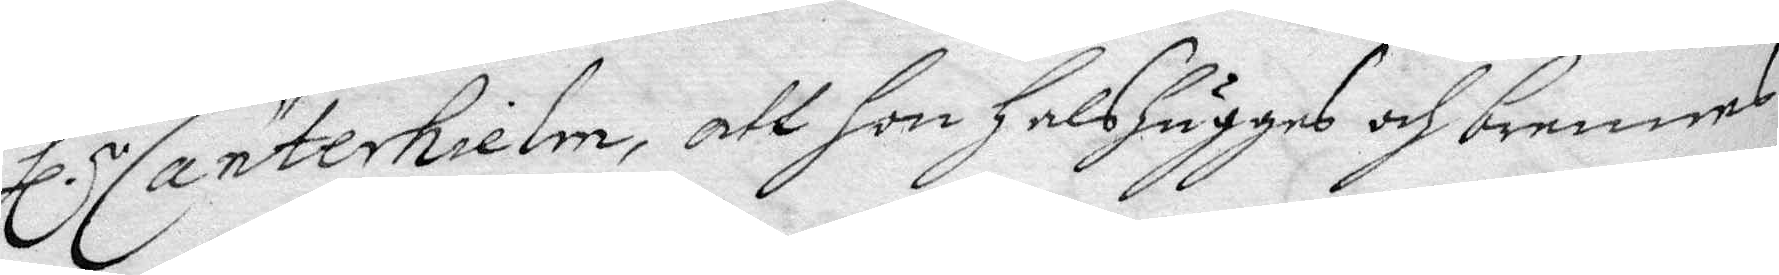Hl.r Canterhielm, att hon halshugges och brennes.
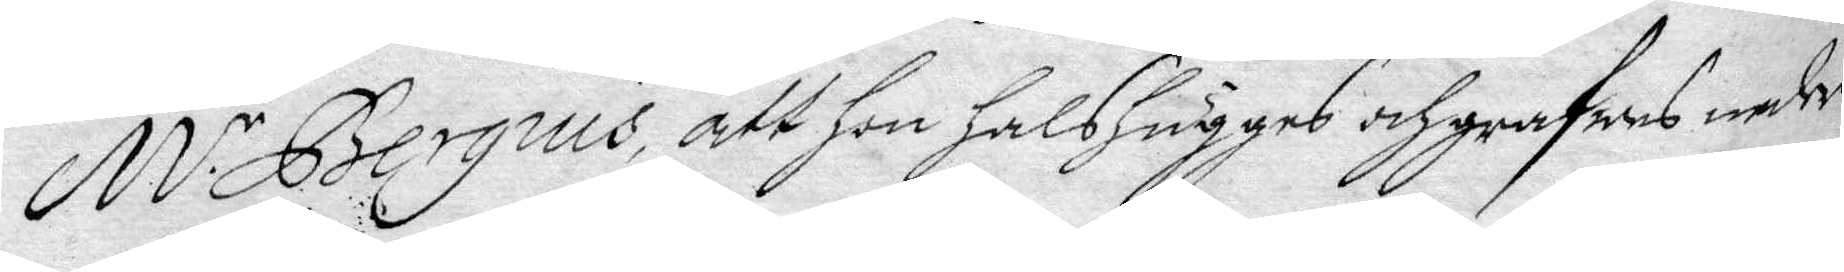M.r Bergius, att hon halshugges och grafwes neder.
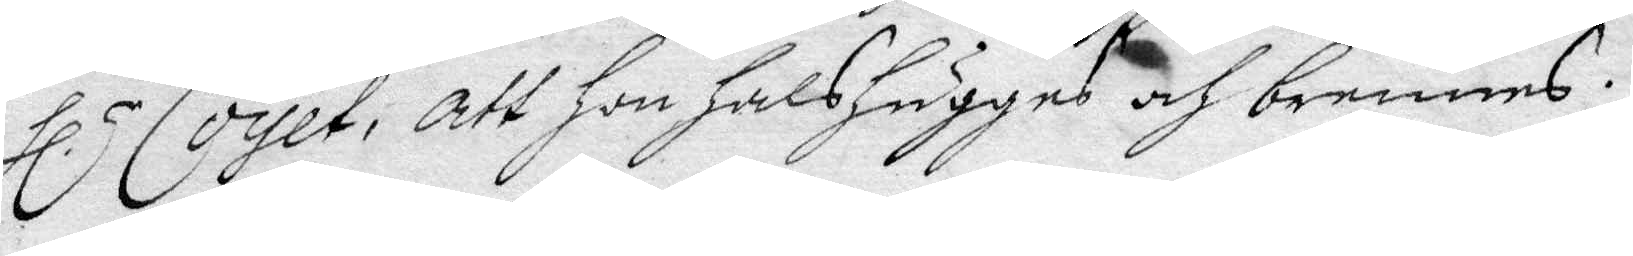Hl.r Coyet, att hon halshugges och brennes.
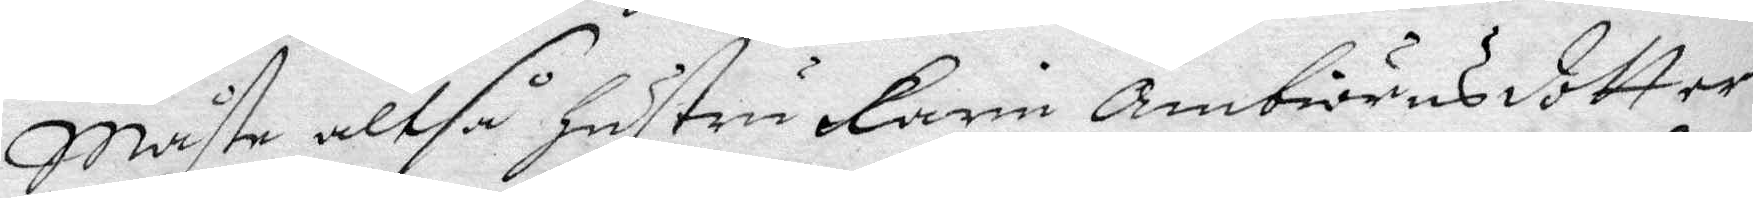Måste altså Hustru Karin Ambiörnsdotter
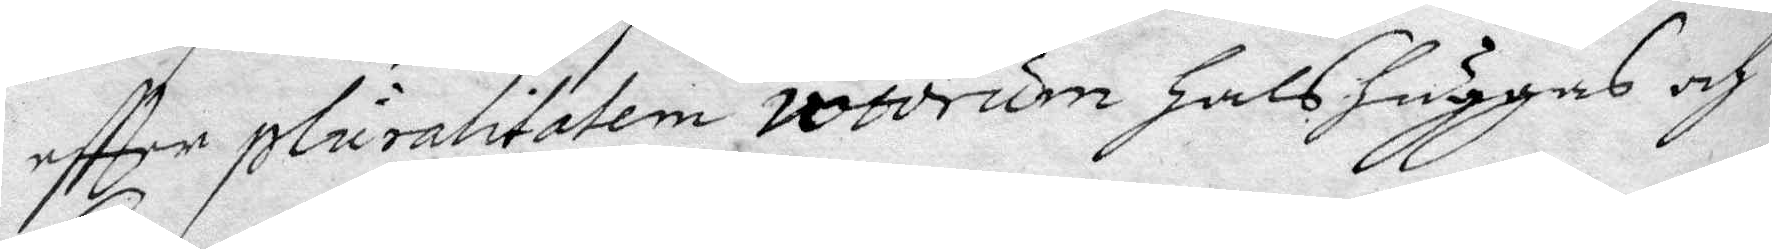eftter pluralitatem vocorum Halshuggas och
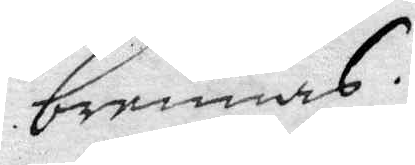brennas.
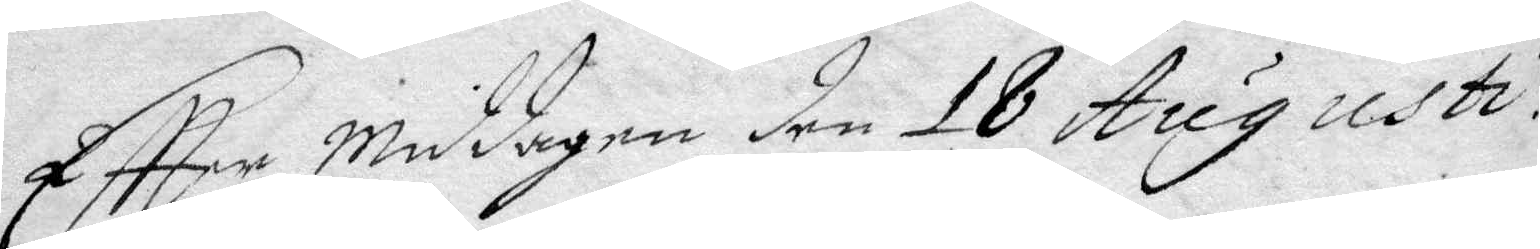Eftter middagen den 18 Aug. uhti.
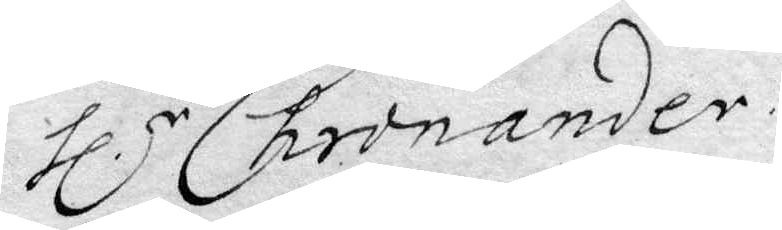Hl.r Chronander
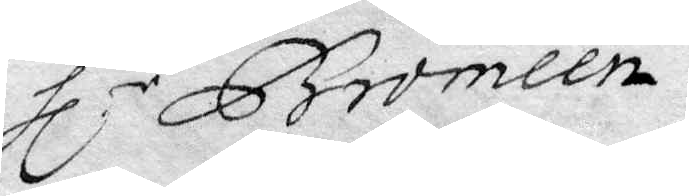Hl.r Bromeen.
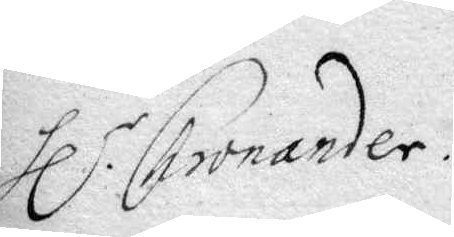Hl.r Cronander
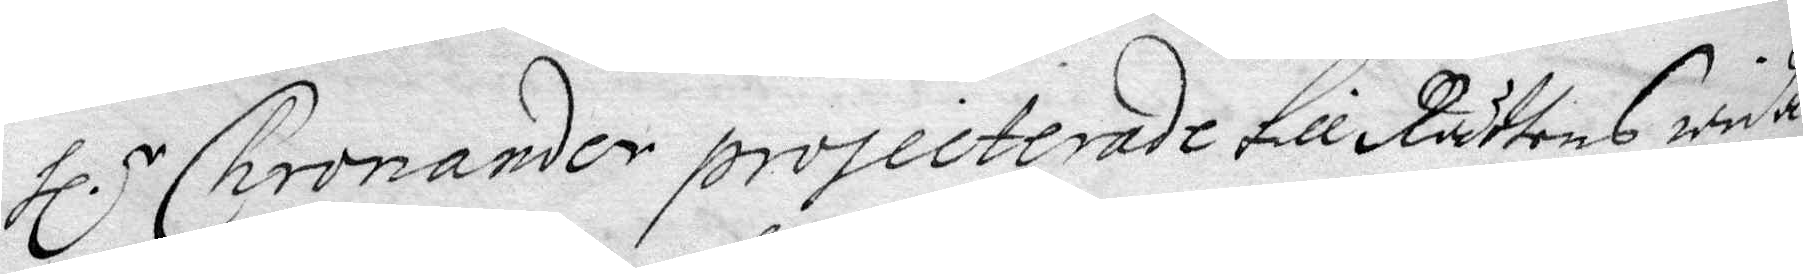Hl.r Cronander projecterade till Rätten wida¬
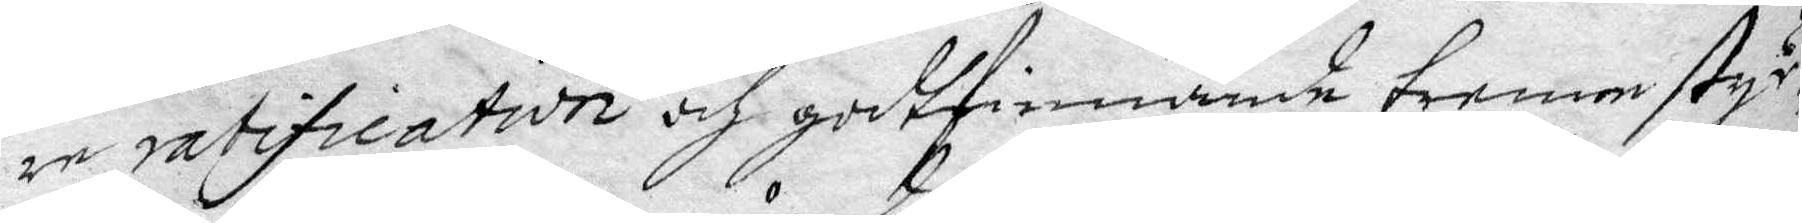re ratification och godtfinnande trenne styc¬
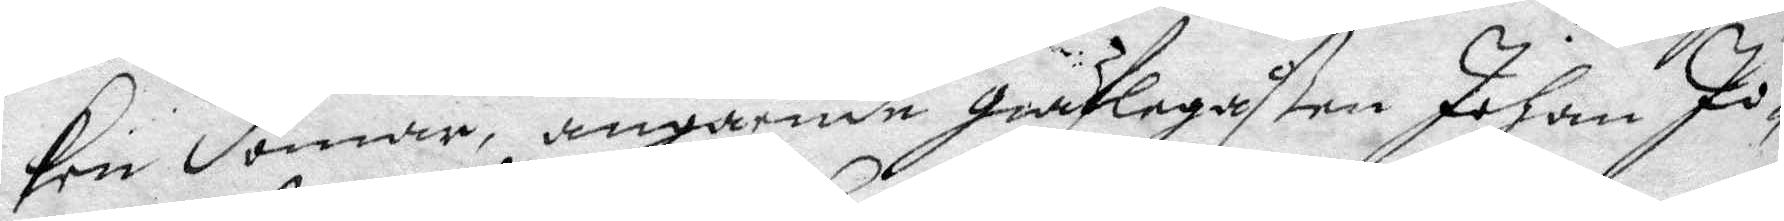ken domar, angående gäflegåßen johan Jo¬
